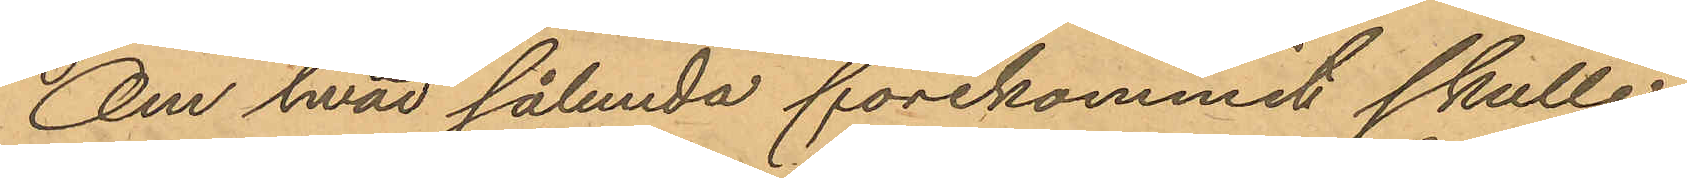Om hvad sålunda förekommit skulle
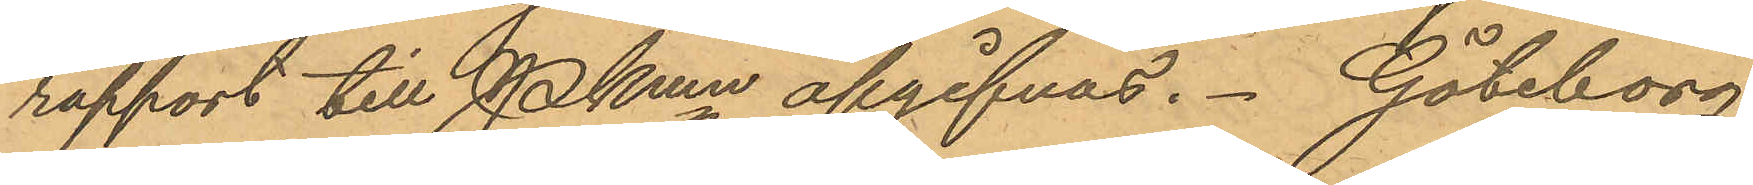rapport till Pkmn afgifvas. Göteborg
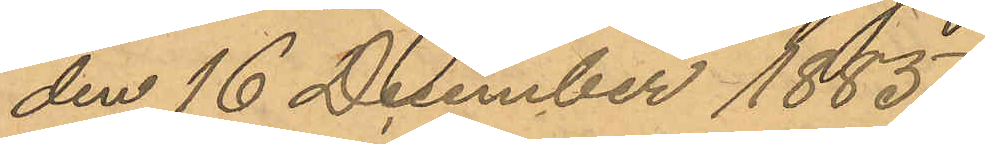den 16 December 1885.
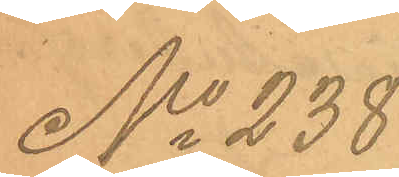No 238
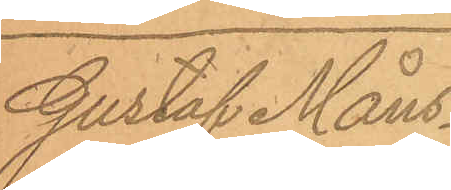Gustaf Måns¬
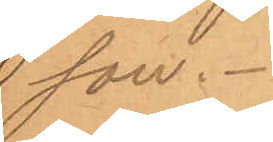son.
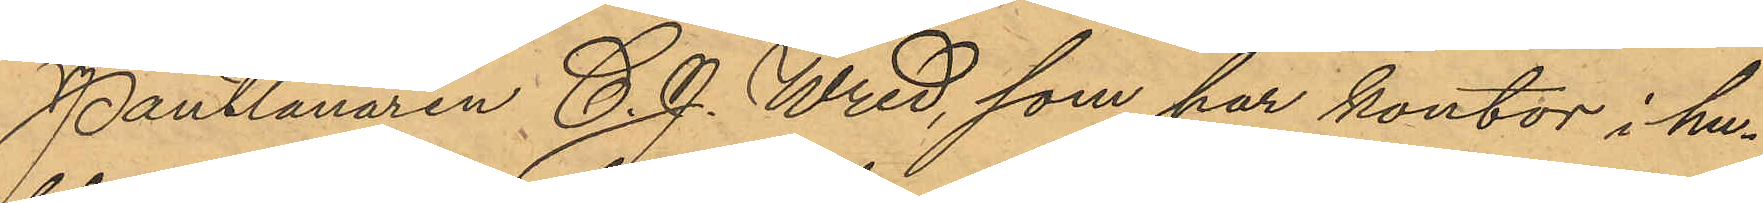Pantlånaren C. J. Wred, som har kontor i hu¬
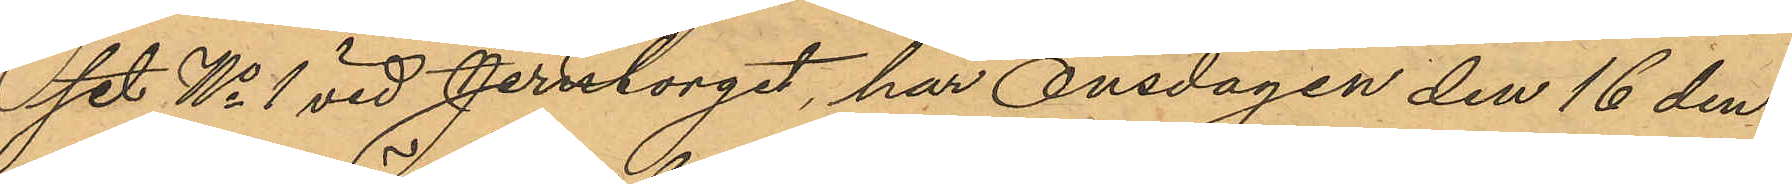set No 1 vid Jerntorget, har Onsdagen den 16 den¬
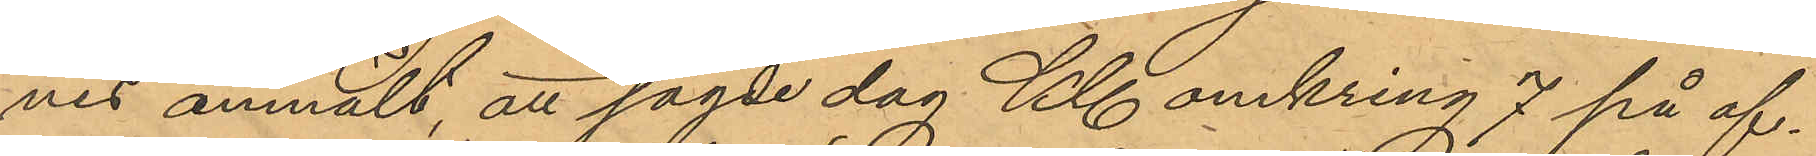nes anmält, att sagde dag Kl. omkring 7 på af¬
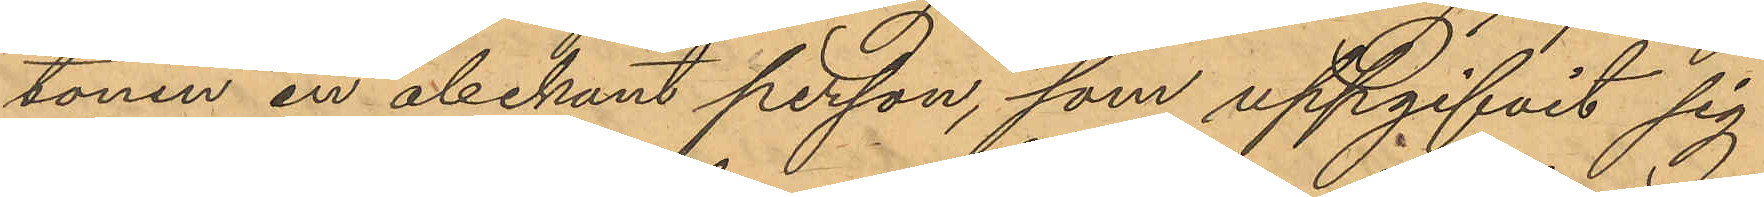tonen en obekant person, som uppgifvit sig
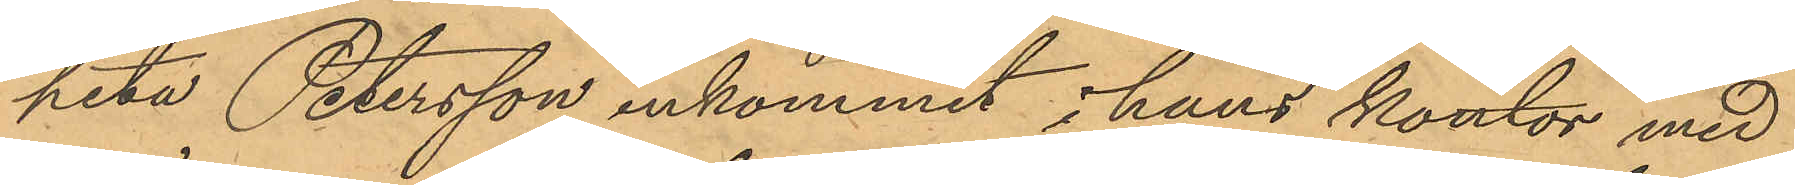heta Petersson inkommit i hans kontor med
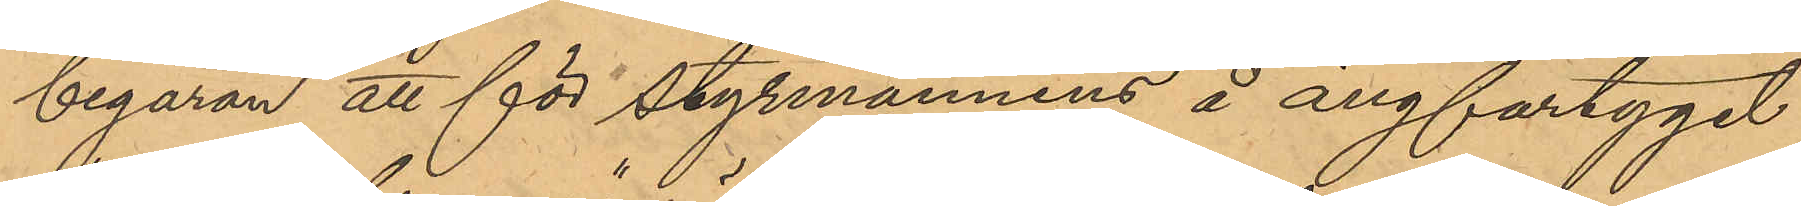begäran att för styrmannens å ångfartyget
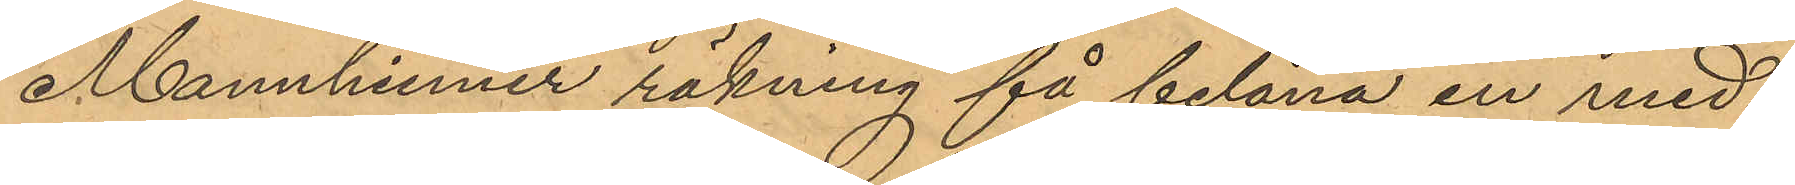"Mannheimer" räkning få belåna en med¬
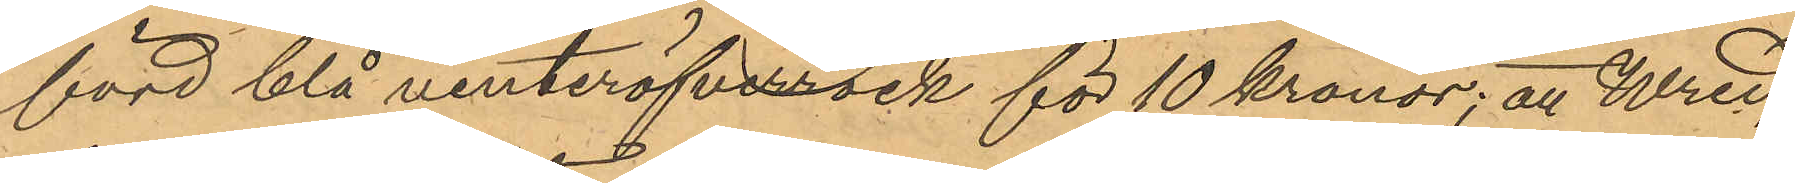förd blå vinteröfverrock för 10 Kronor; att Wred,
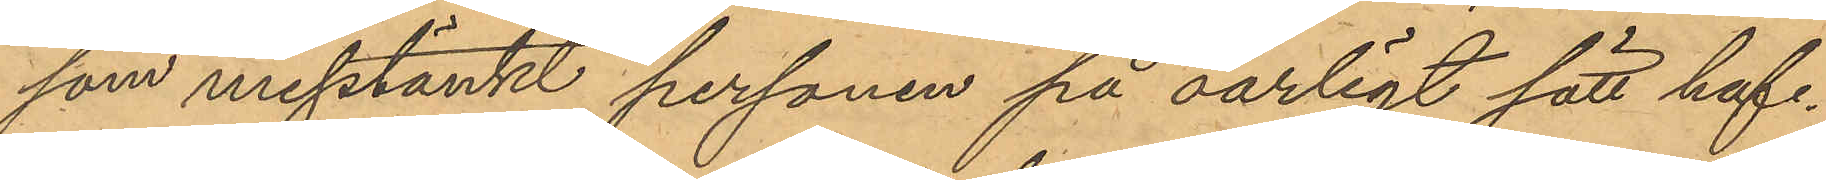som misstänkt personen på oärligt sätt haf¬
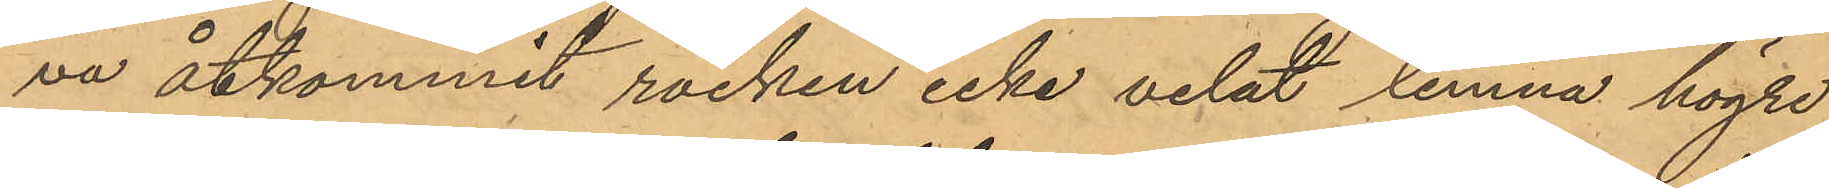va åtkommit rocken icke velat lemna högre
